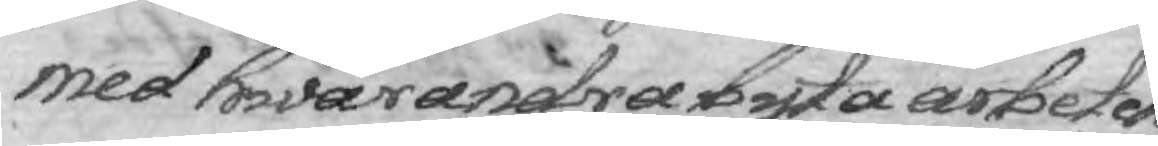med hwarandra byta arbeten
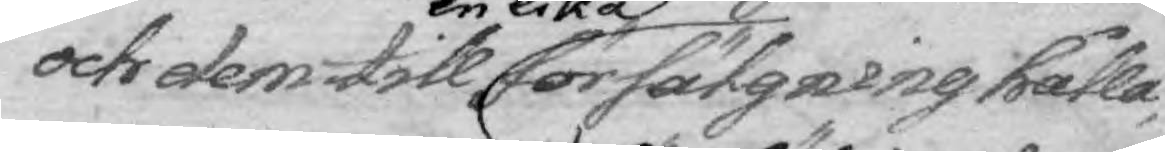och dem till en lika försälgning hålla,
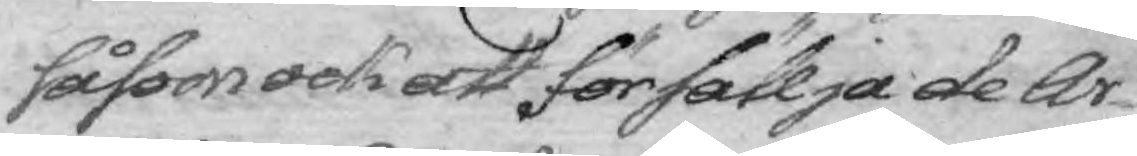såsom ock att försällja de Ar¬
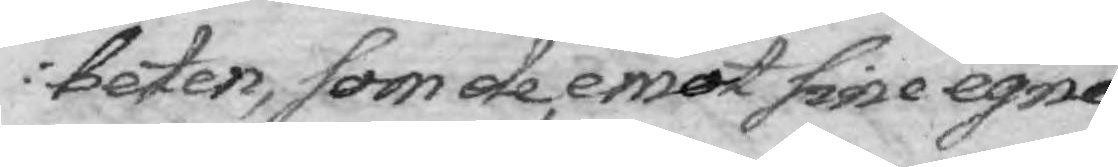beten, som de, emot sine egne, 
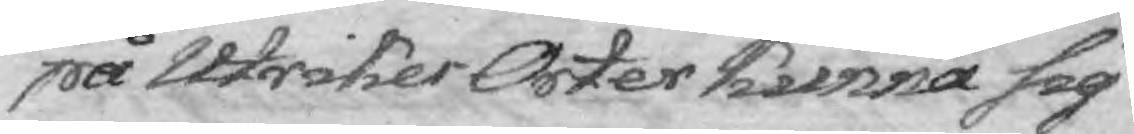på Utrikes Orter kunna sig
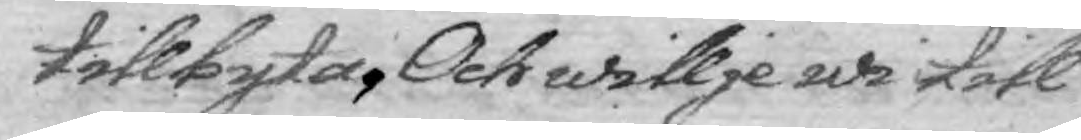tillbyta, Och willje wi till
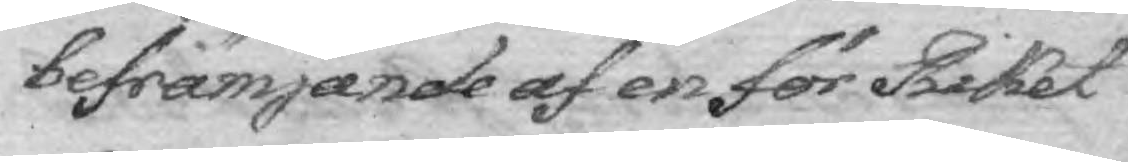befrämjande af en för Riket
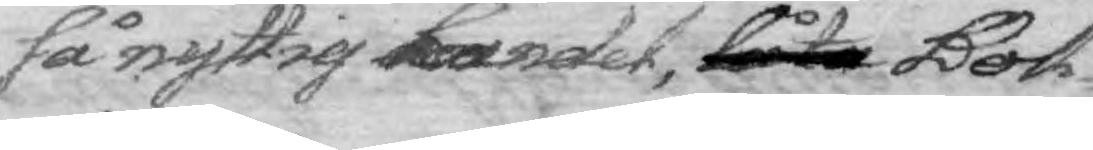så nyttig handel, låta Bok¬
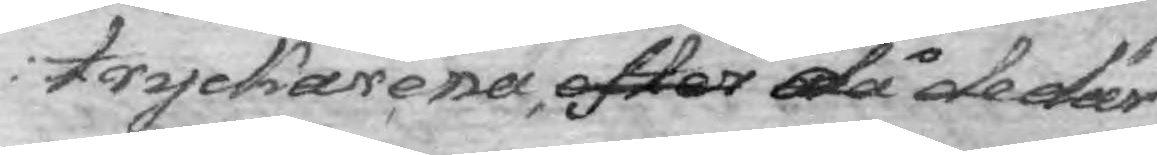tryckarena efter då de där
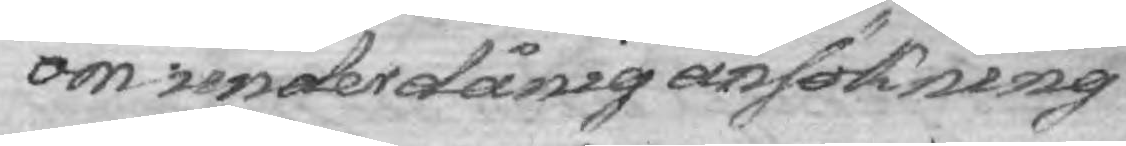om underdånig ansökning
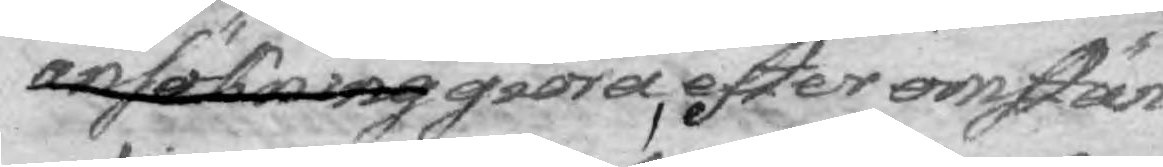ansökning giöra, efter omstän¬
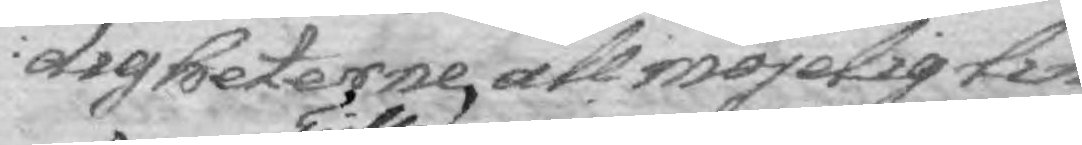digheterne, all möjelig lin¬
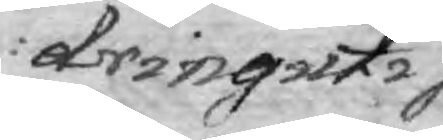dring uti
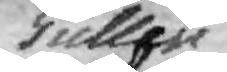Tullen
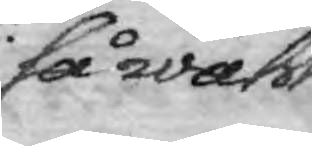så wähl
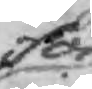för
